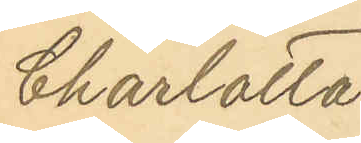Charlotta
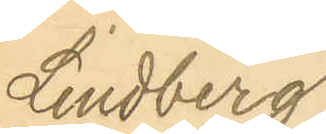Lindberg.
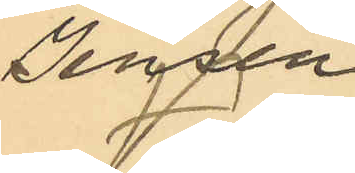Jensen.
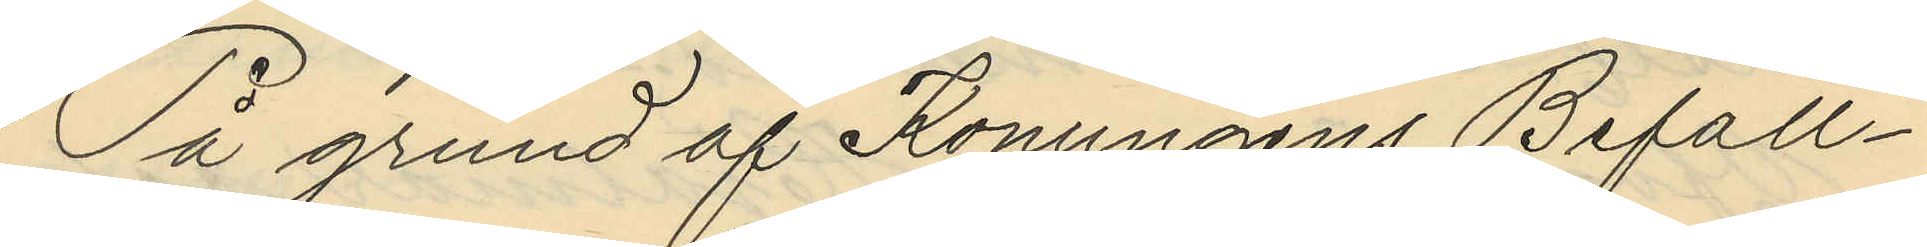På grund af Konungens Befall¬
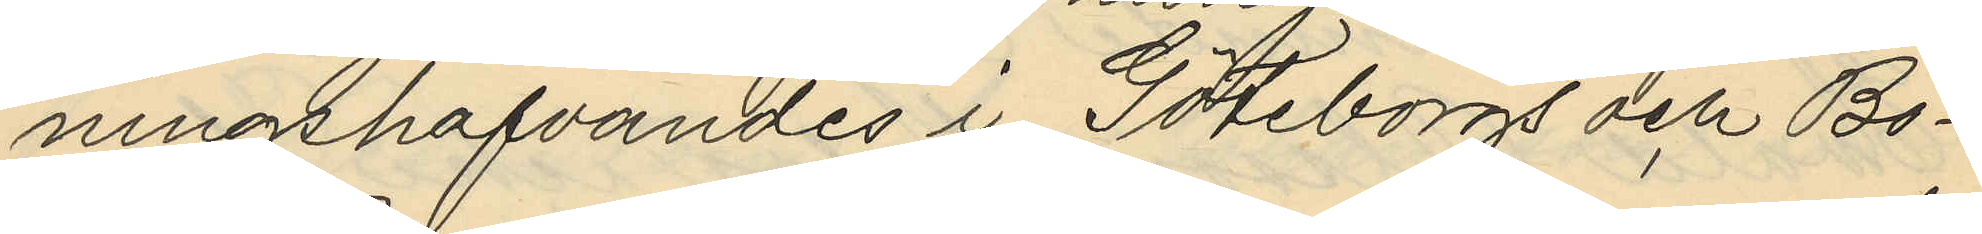ningshafvandes i Göteborgs och Bo¬
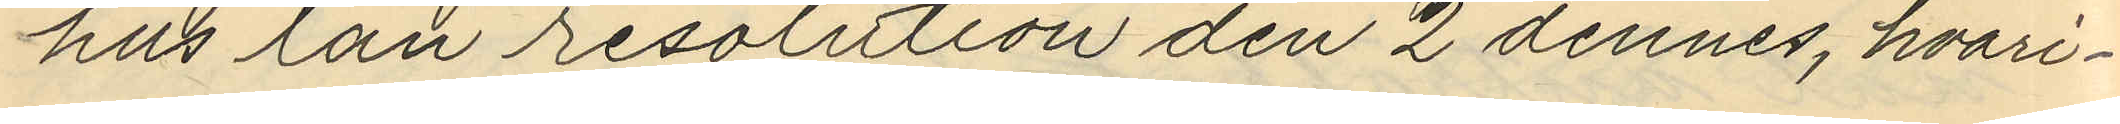hus län resolution den 2 dennes, hvari¬
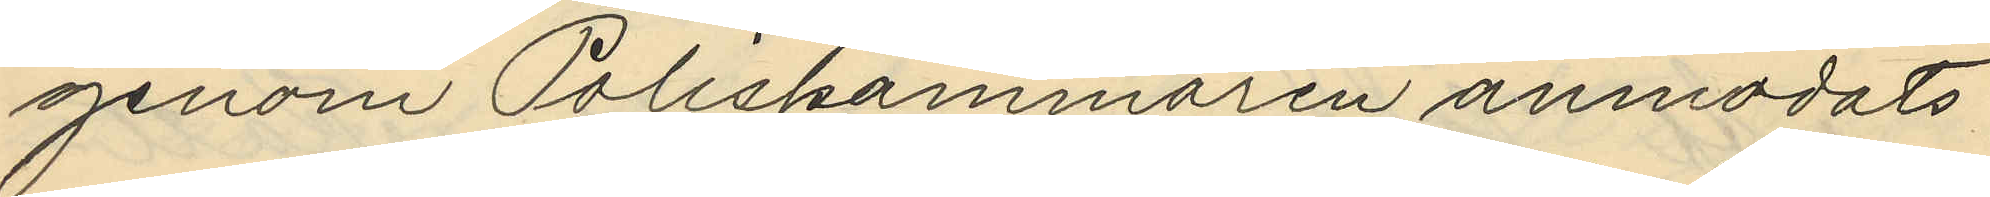genom Poliskammaren anmodats
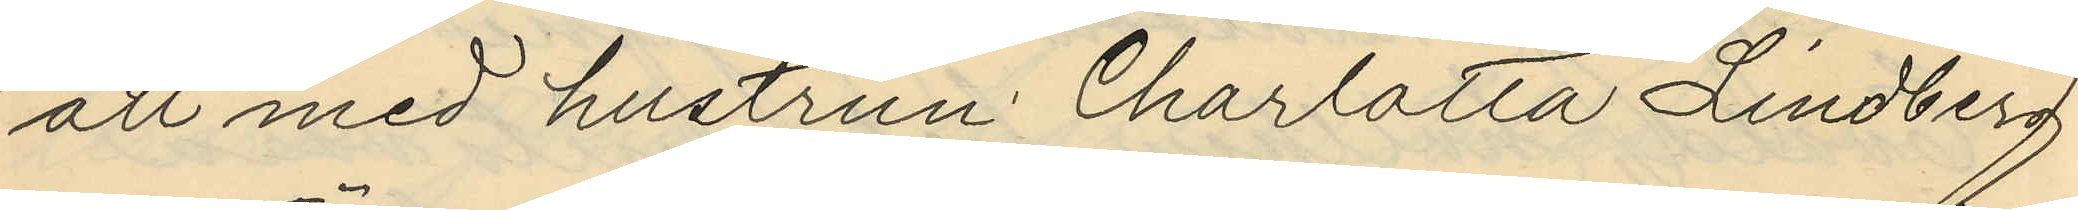att med hustrun Charlotta Lindberg
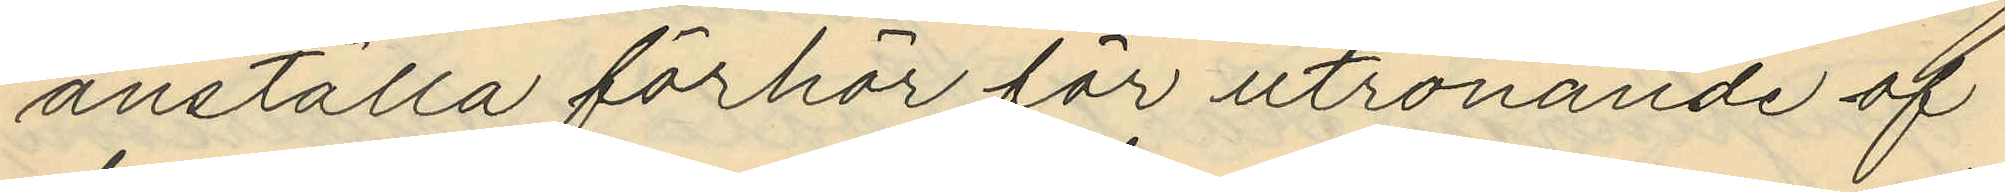anställa förhör för utrönande af
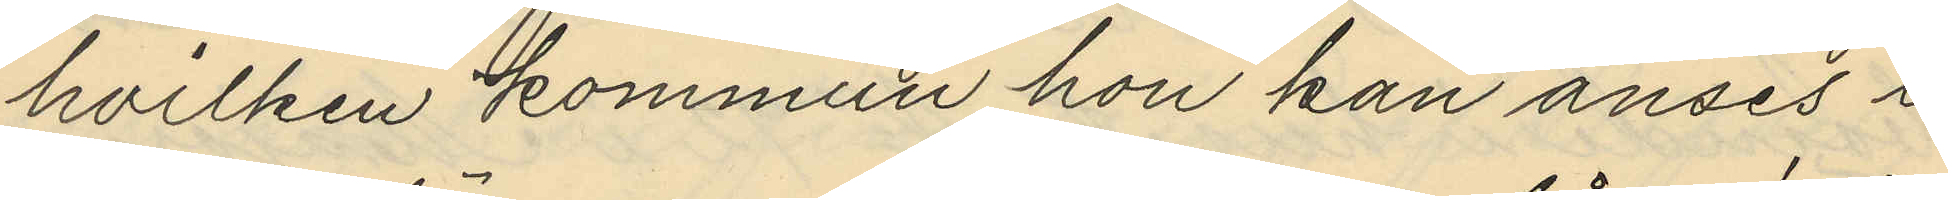hvilken kommun hon kan anses i
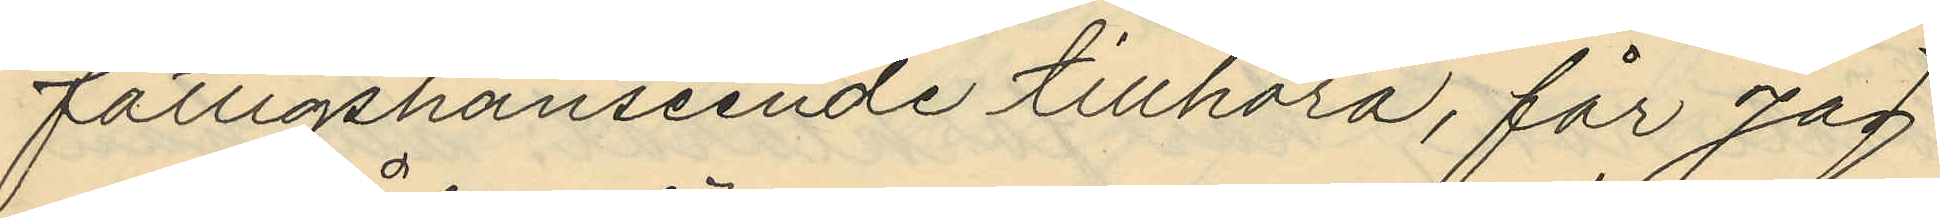fattigshänseende tillhöra, får jag
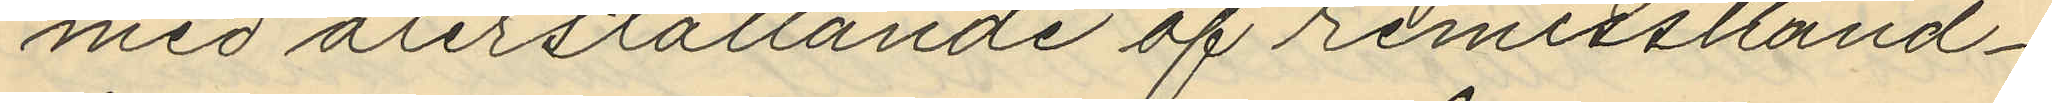med återställande af remisshand¬
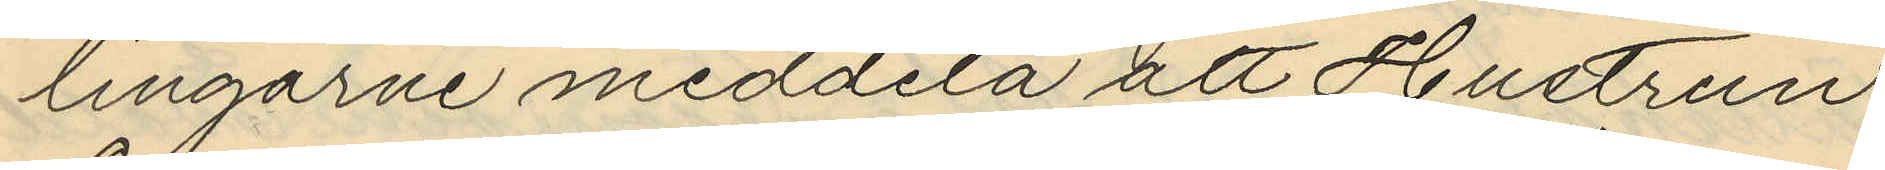lingarne meddela att Hustrun
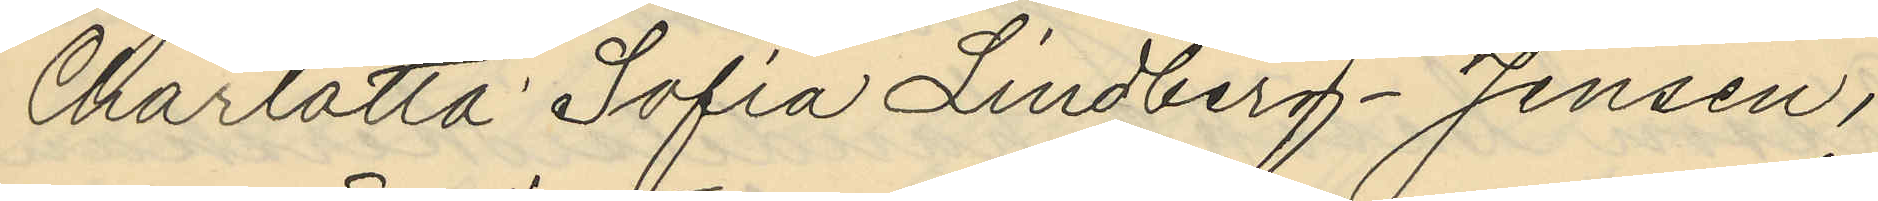Carlotta Sofia Lindberg-Jensen,
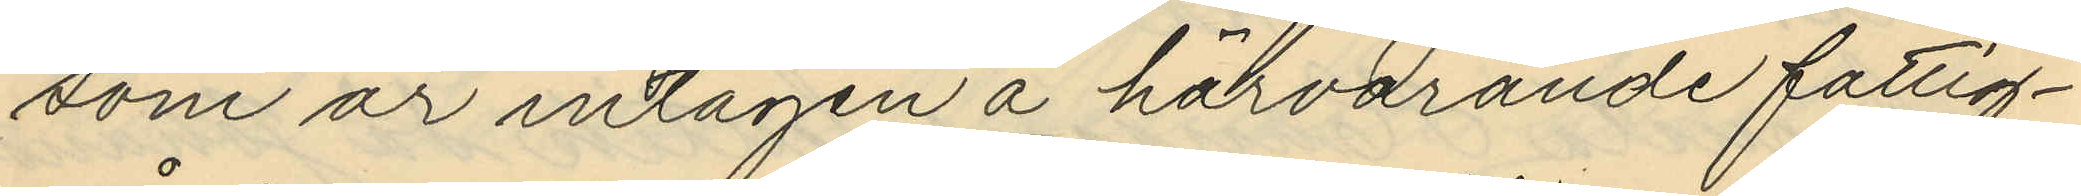som är intagen å härvarande fattig¬
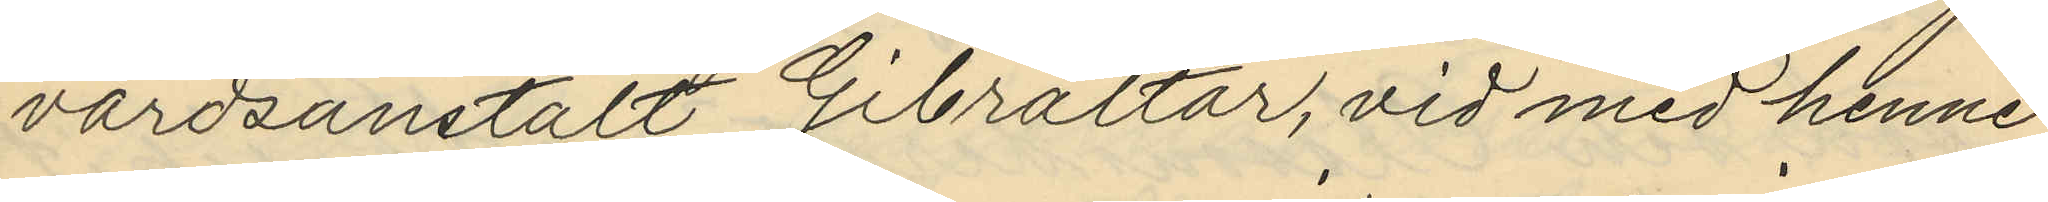vårdsanstalt Gibraltar, vid med henne
